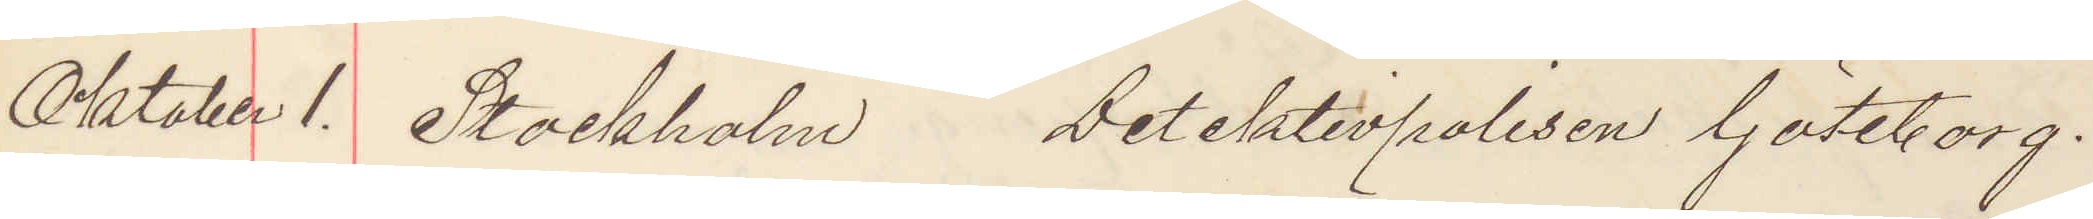Oktober 1. Stockholm Detektivpolisen Göteborg.
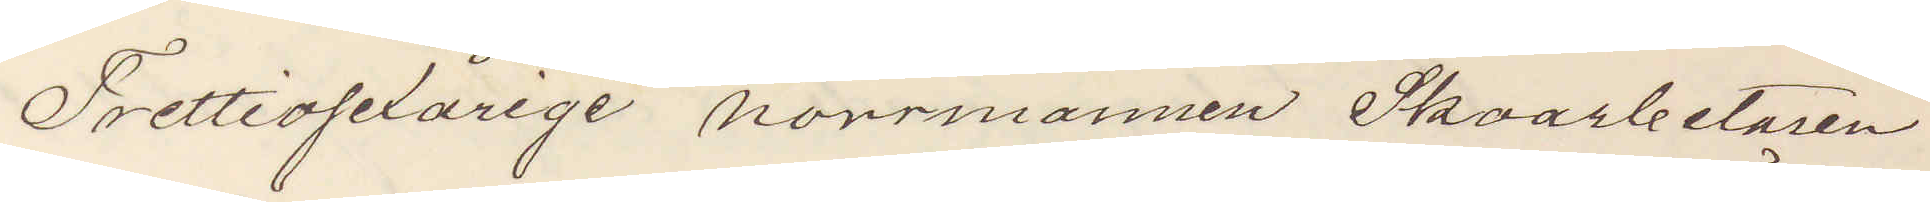Trettiosexårige norrmannen Skoarbetaren
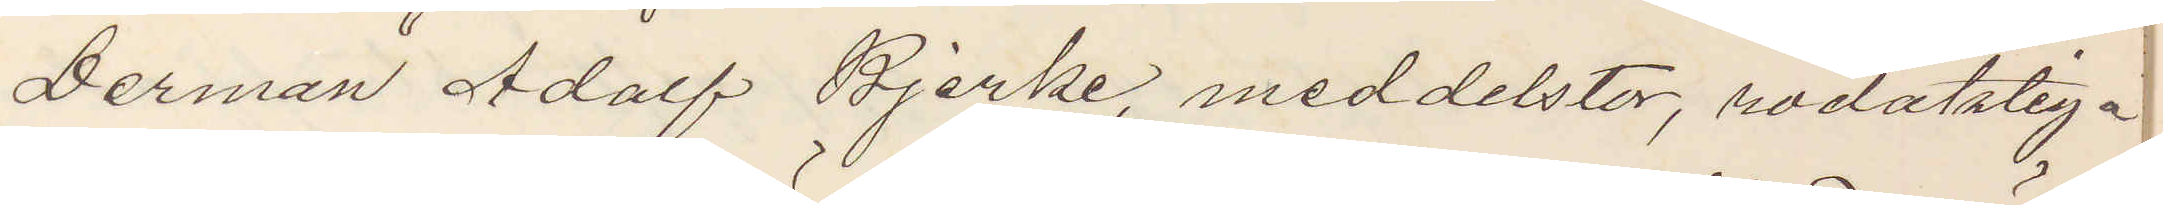Herman Adolf Bjerke, meddelstor, rödaktiga
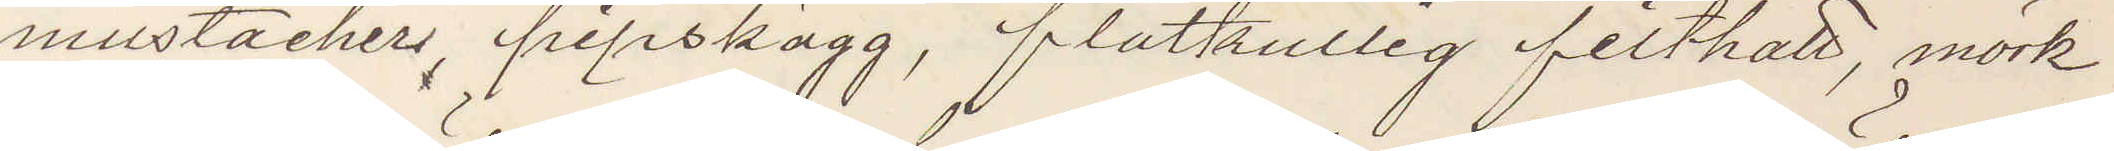mustacher, pipskägg, flatkullig filthatt, mörk
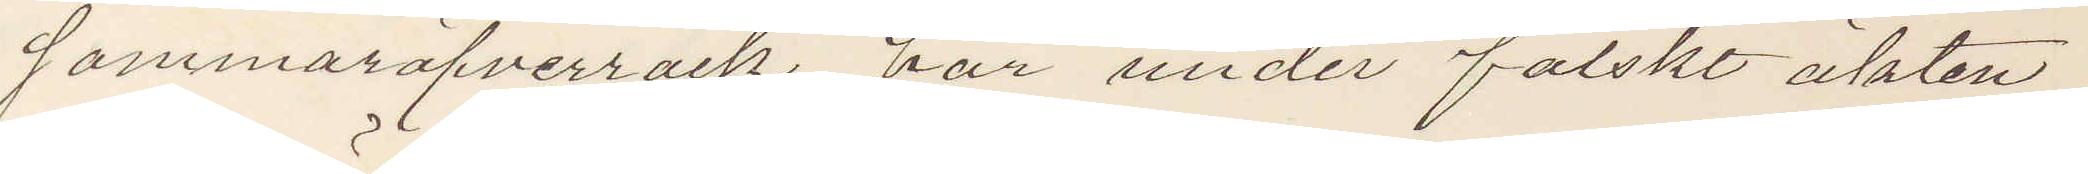sommaröfverrock var under falskt äkten¬
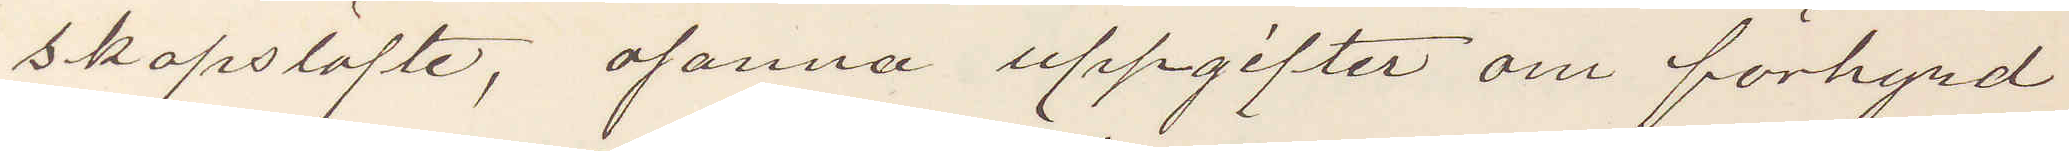skapslöfte, osanna uppgifter om förhyrd
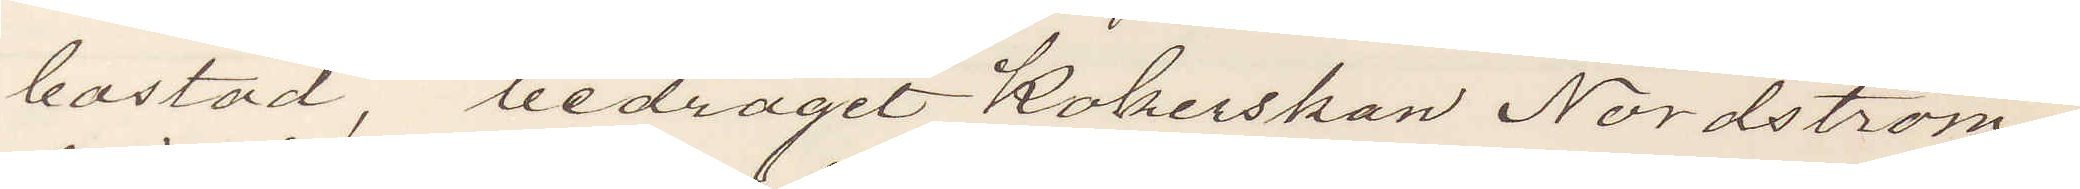bostad, bedragit Kokerskan Nordström
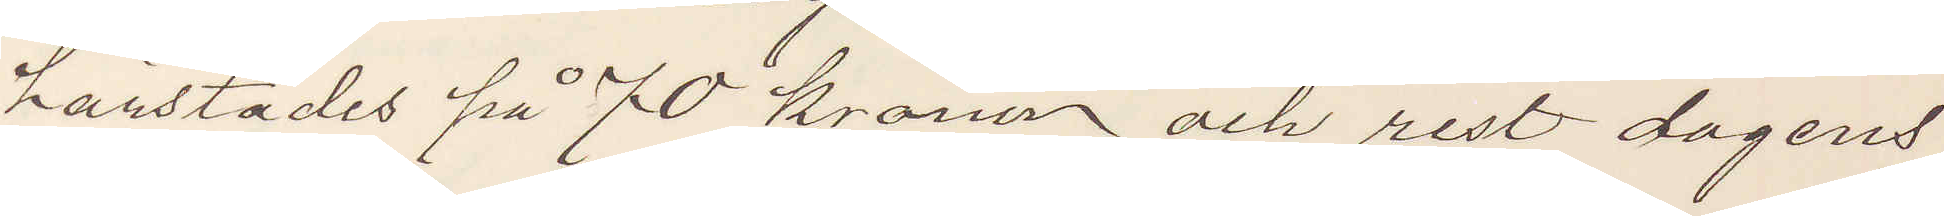härstädes på 70 kronor och rest dagens
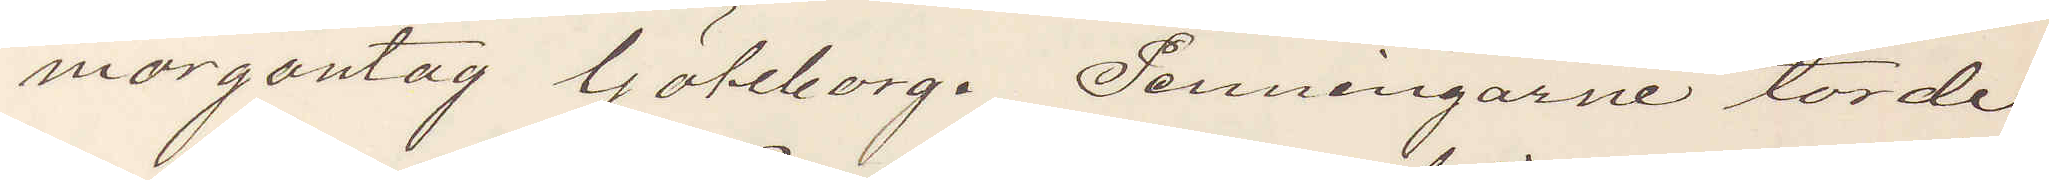morgontåg Göteborg. Penningarne torde
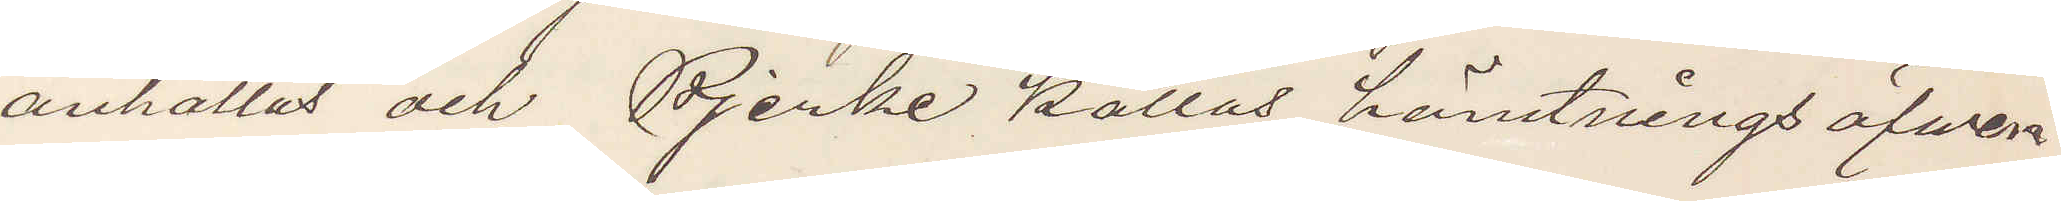anhållas och Bjerke kallas hämtnings äfven
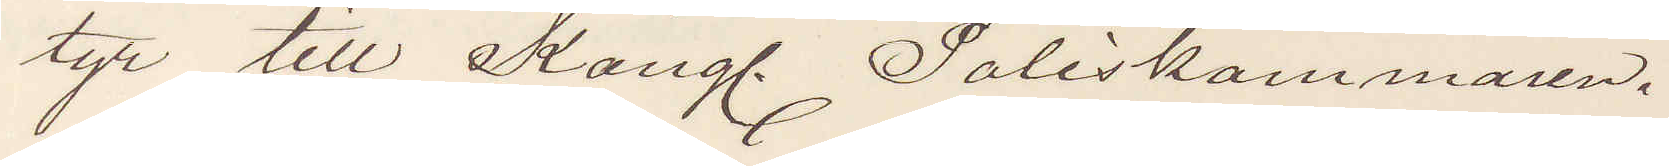tyr till Kongl. Poliskammaren.
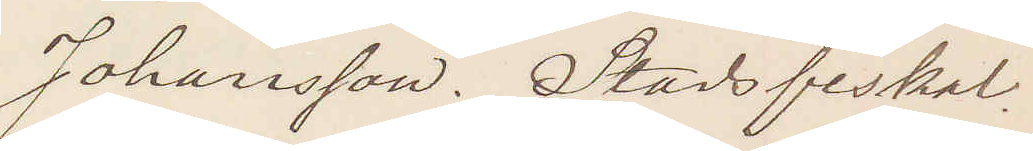Johansson. Stadsfiskal.
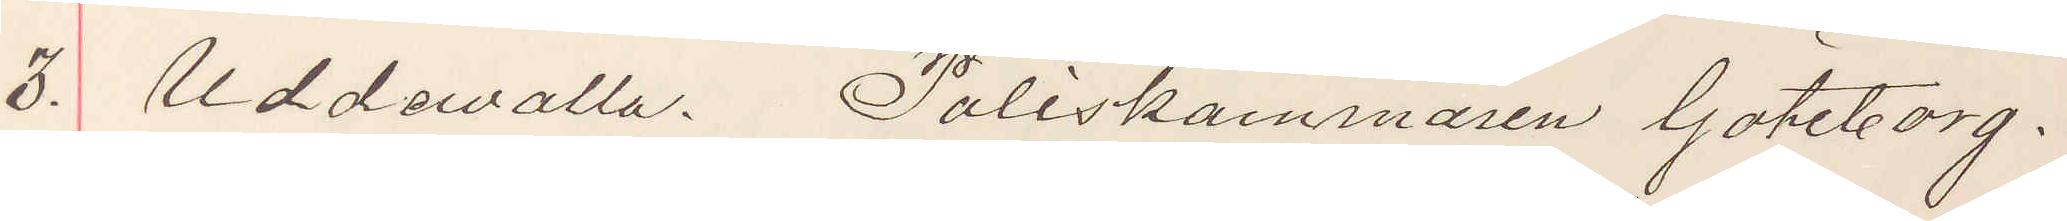3 Uddevalla Poliskammaren Göteborg.
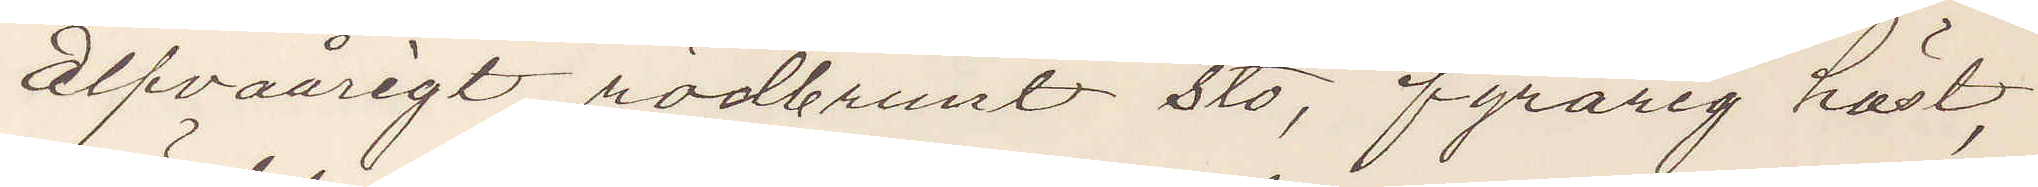Elfvaårigt rödbrunt sto, fyrårig häst,
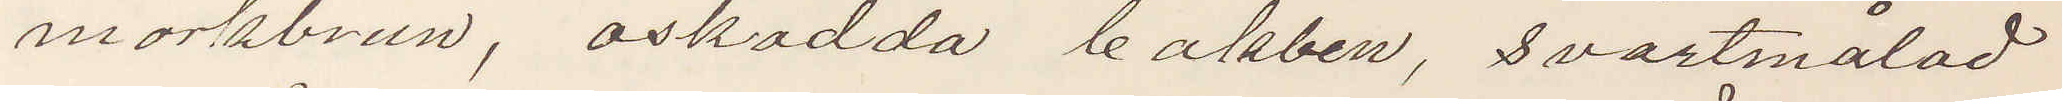mörkbrun, oskodda bakben, svartmålad
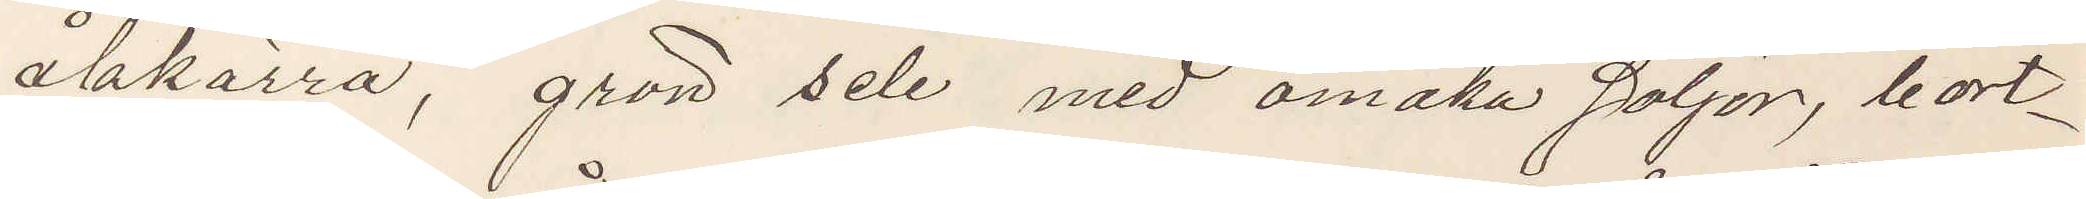åkkärra, grön sele med omaka söljor, bort¬
